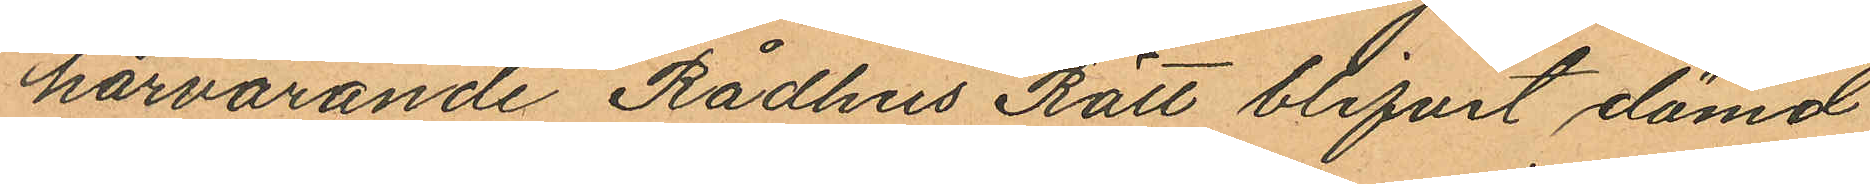härvarande Rådhus Rätt blifvit dömd
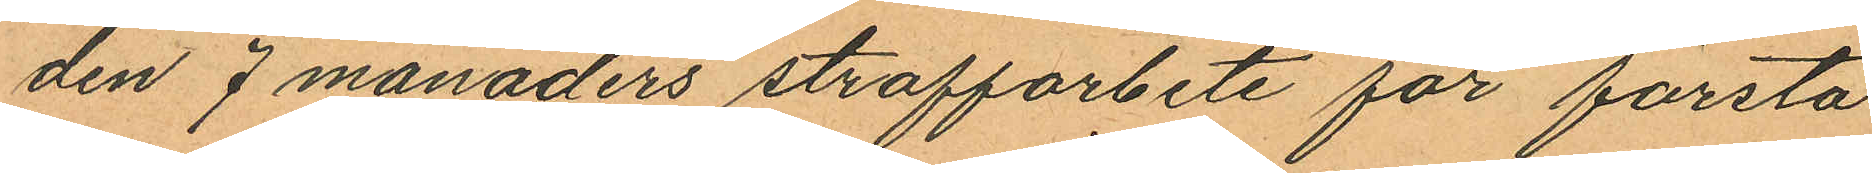den 7 månaders straffarbete för första
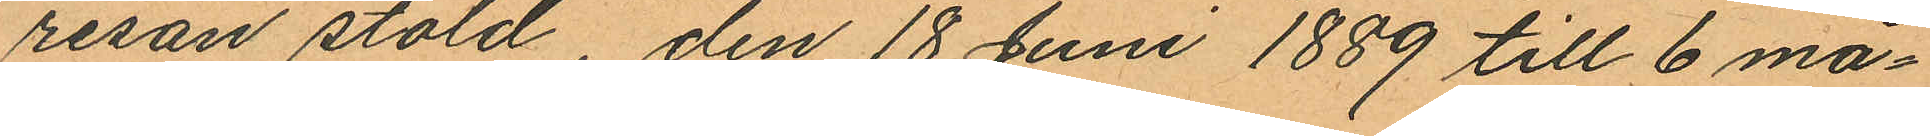resan stöld, den 18 Juni 1889 till 6 må¬
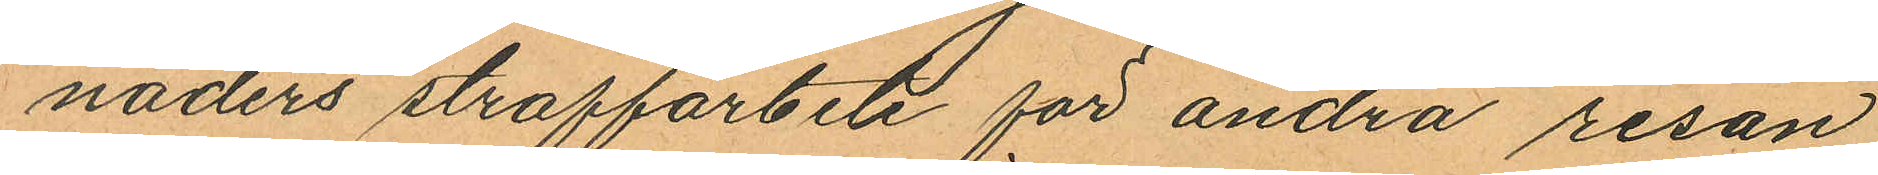naders straffarbete för andra resan
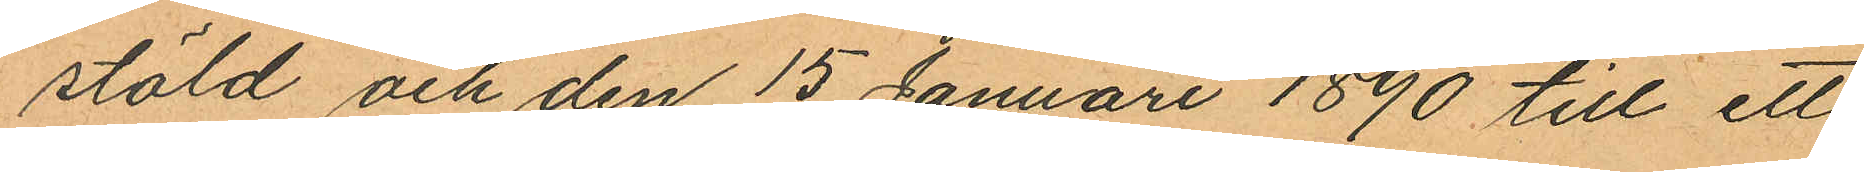stöld och den 15 Januari 1890 till ett
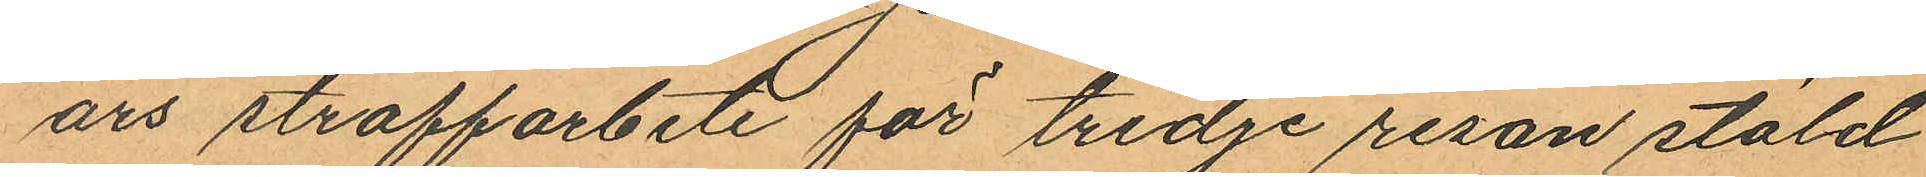års straffarbete för tredje resan stöld
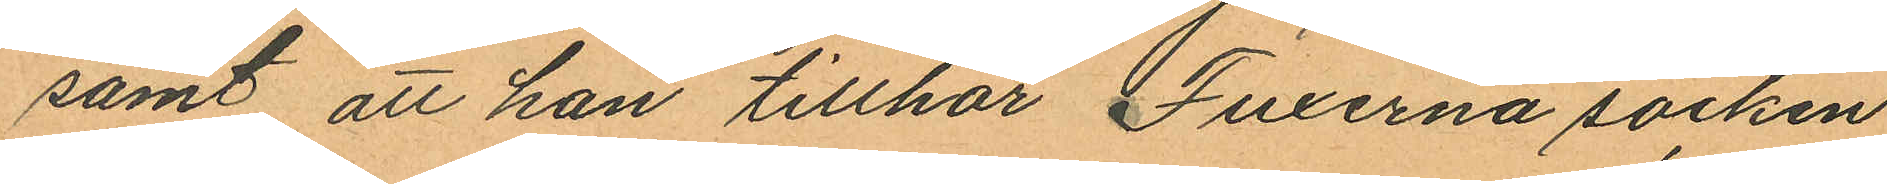samt att han tillhör Fuxerna socken
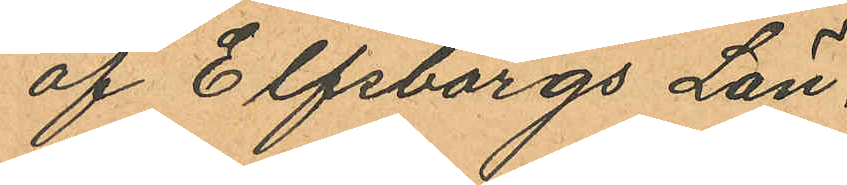af Elfsborgs Län.
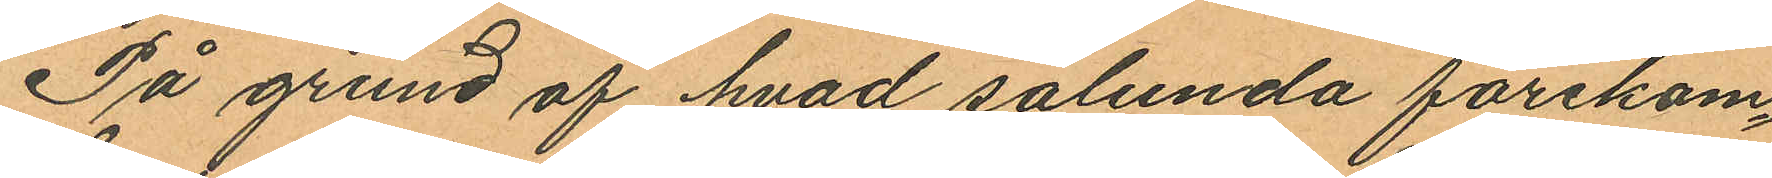På grund af hvad sålunda förekom¬
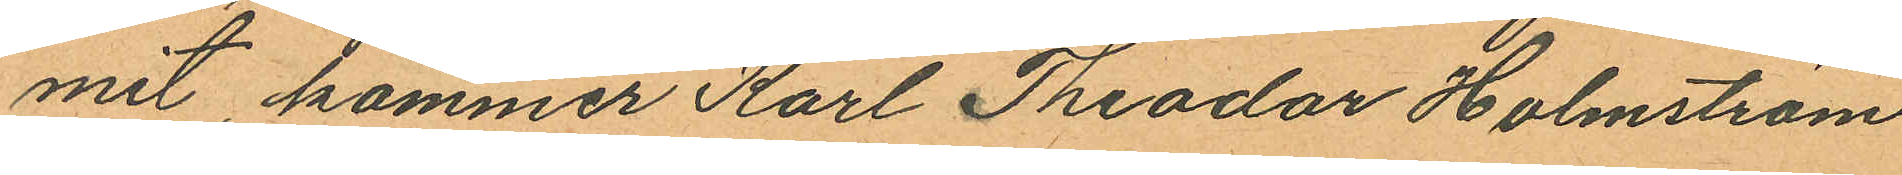mit kommer Karl Theodor Holmström
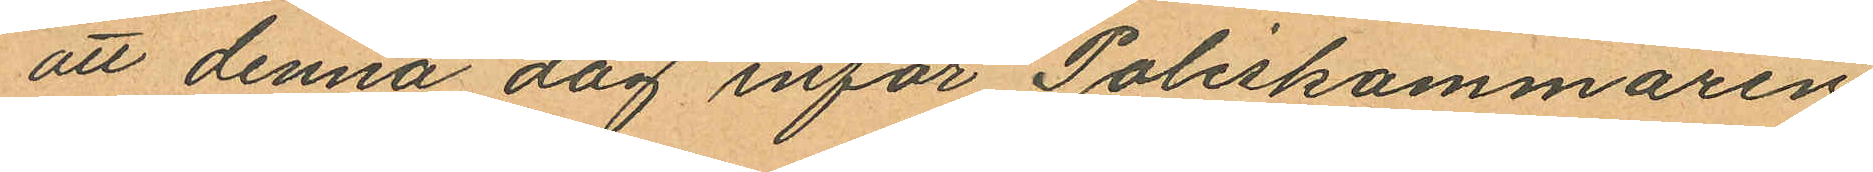att denna dag inför Poliskammaren
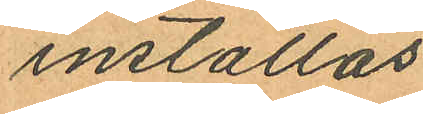inställas.
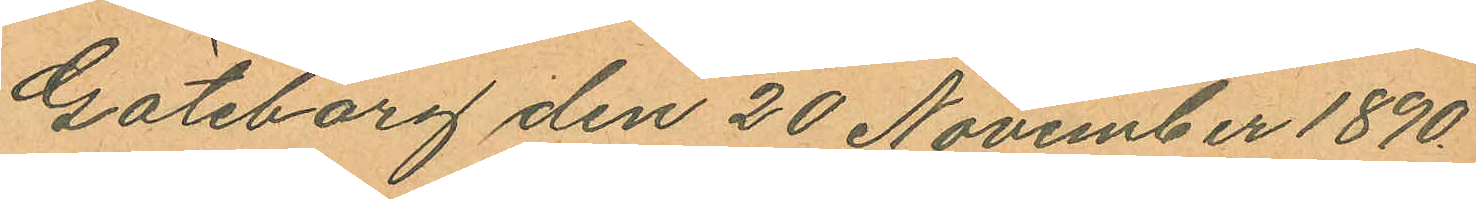Göteborg den 20 November 1890.
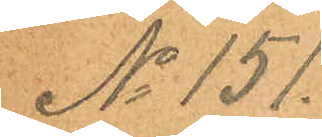No 151.
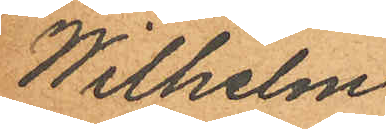Wilhelm
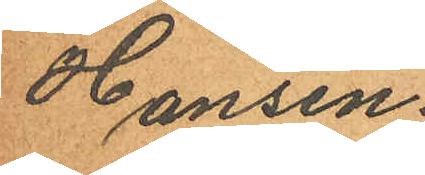Hansen.
